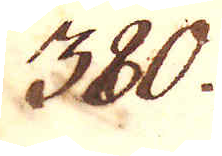380.
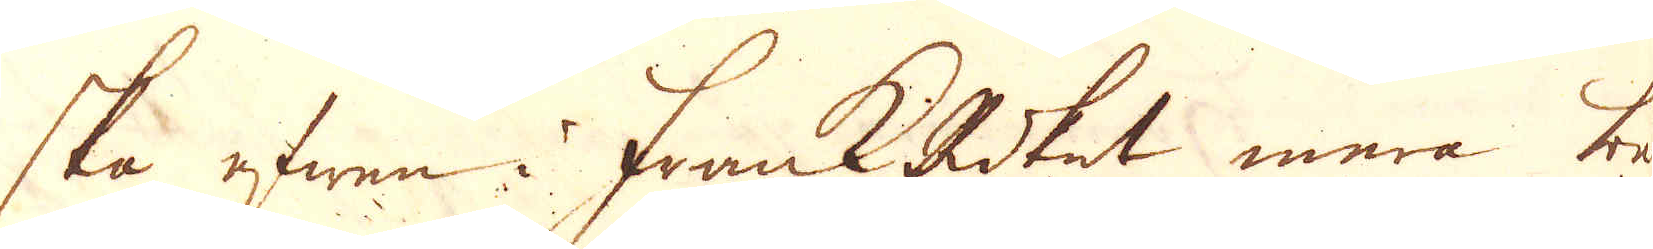ska efwen i FrankRiket mera be-
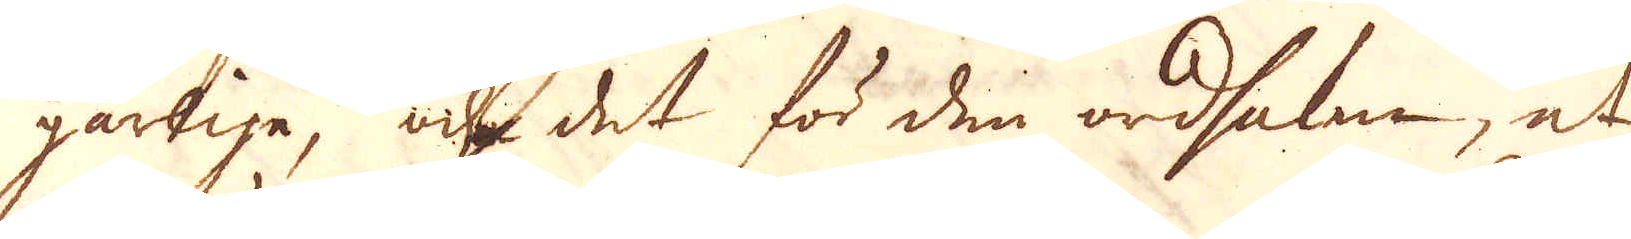gärlige, och det för den ordsaken, at
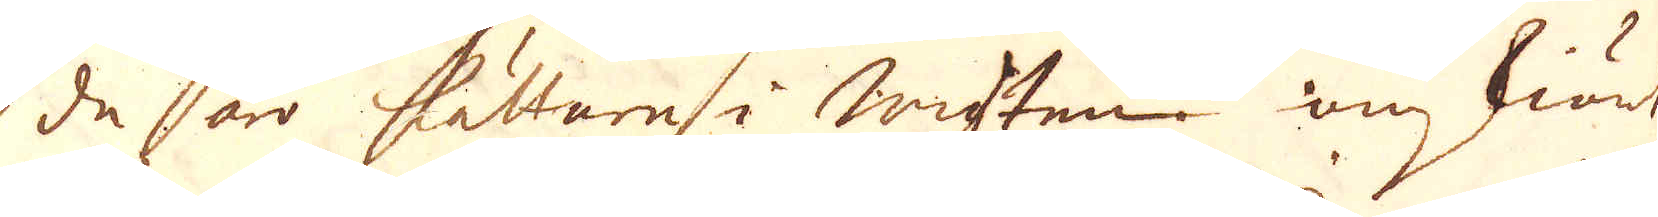de är lättare i wigten omskiönt
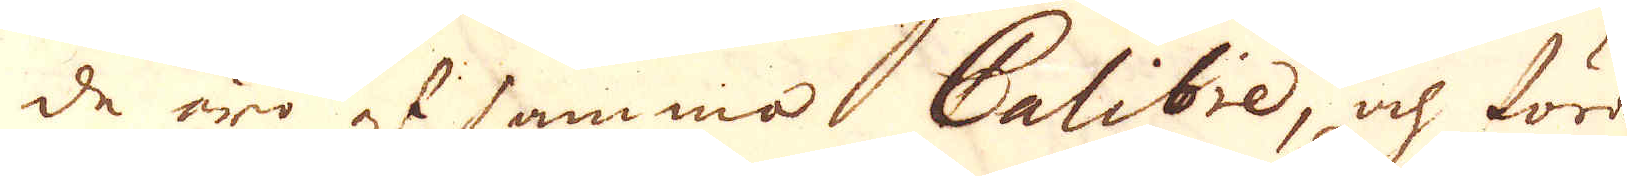de äro af samma Calibre, och föra
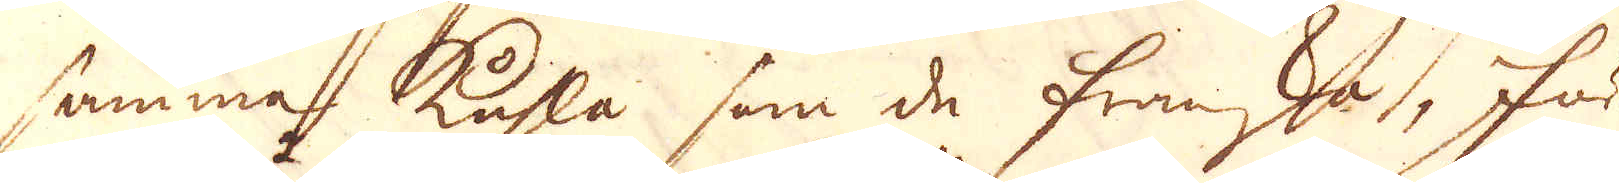samma kuhla som de franska, för
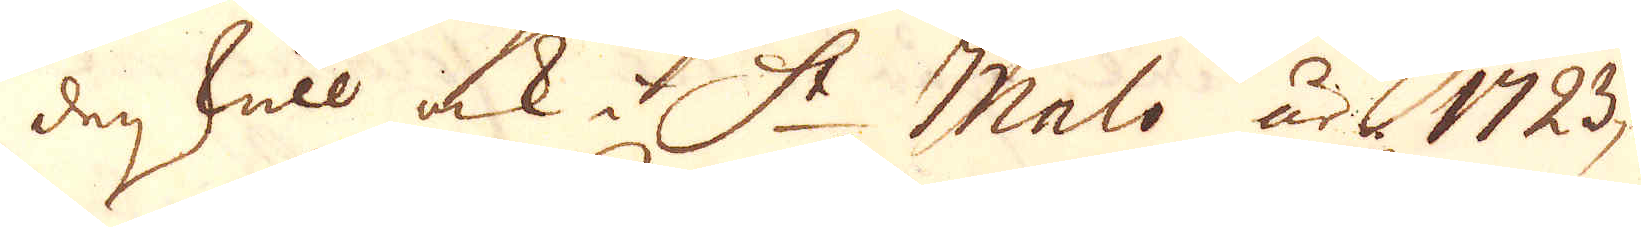den skull ock i St Malo år 1723
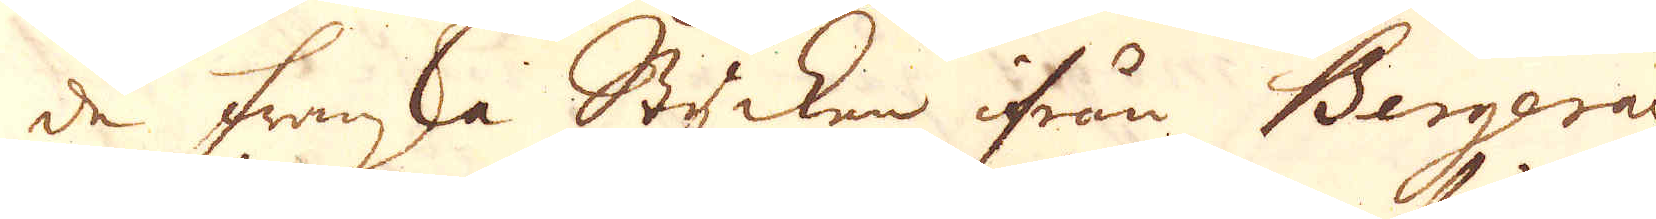de franska Stycken ifrån Bergeran
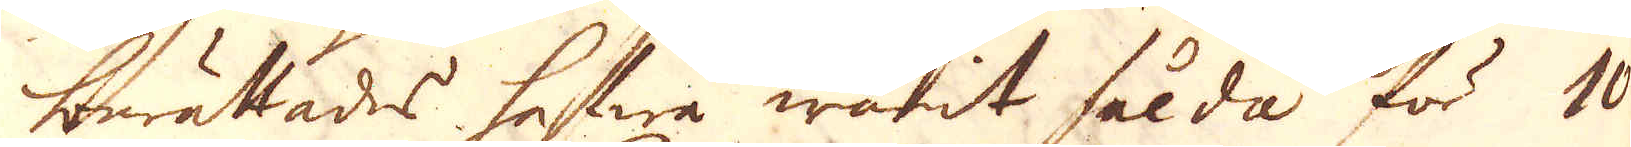berättades hafwa warit sålda för 10
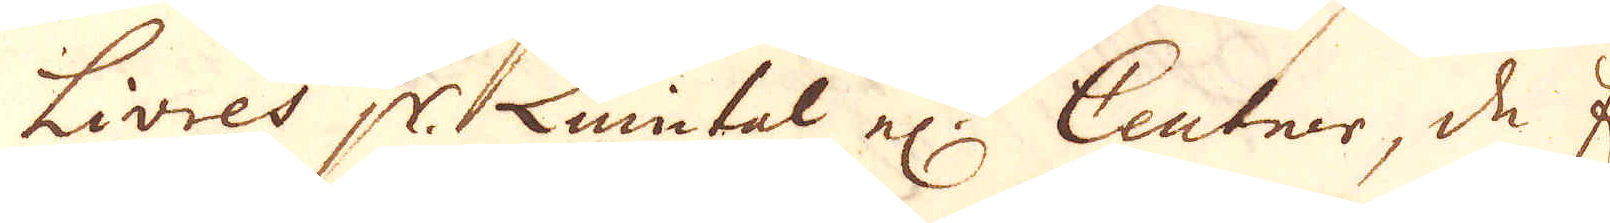Livres pr. Quintal el:r Centner, de En-
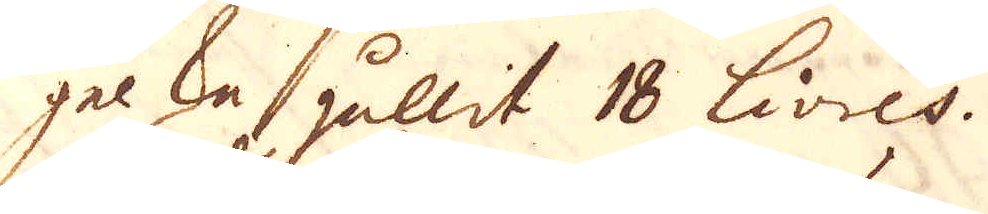gelska hållit 18 Livres.
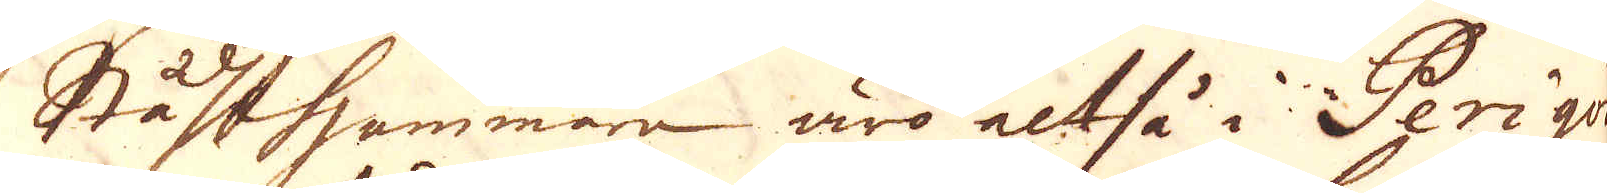Stålhammare äro altså i Perigod
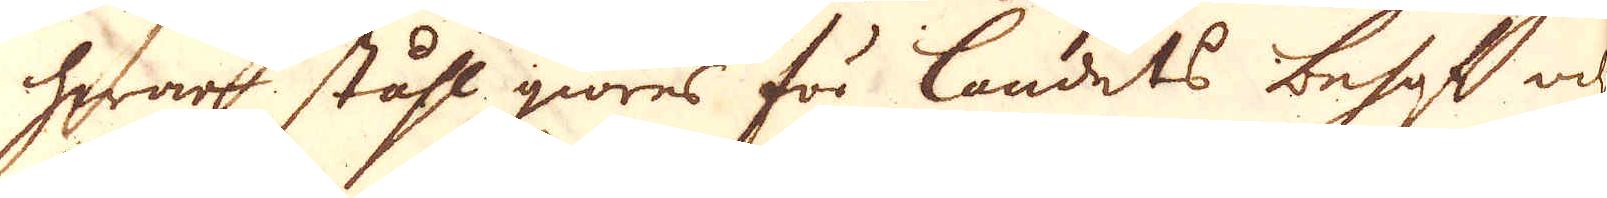hwar ståhl giöres för landets behof och
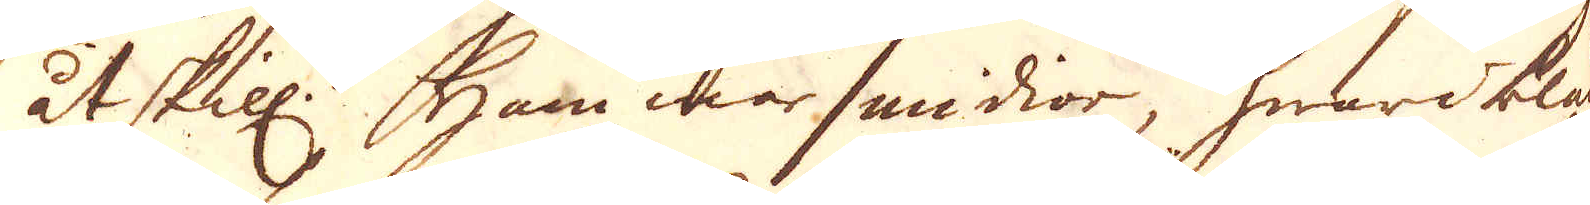åtskill. Hammarsmidior, hwaribland
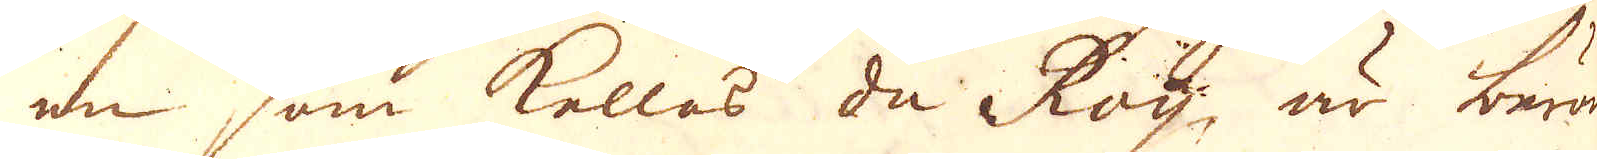en som kallas du Roy, är berömd
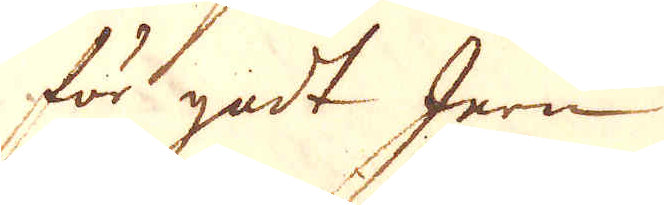för godt Jern.
